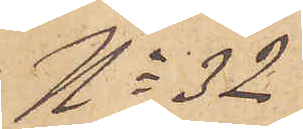No 32
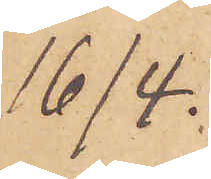16/4.
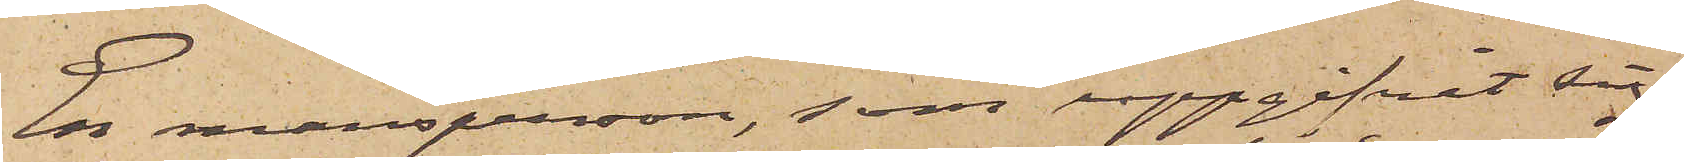En mansperson, som uppgifvit sig
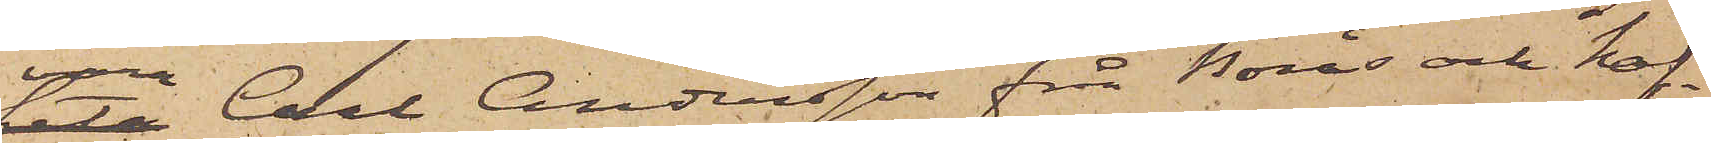vara Carl Andersson från Borås och haf¬
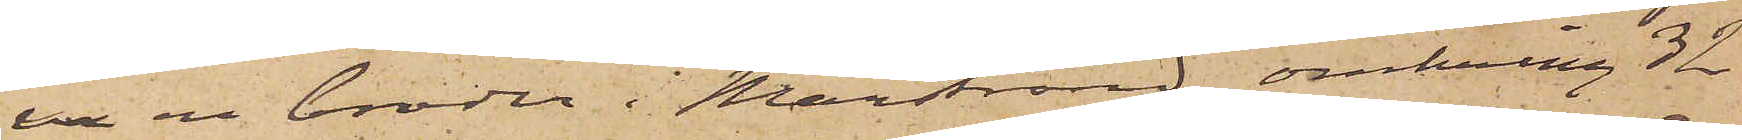va en broder i Marstrand, omkring 32
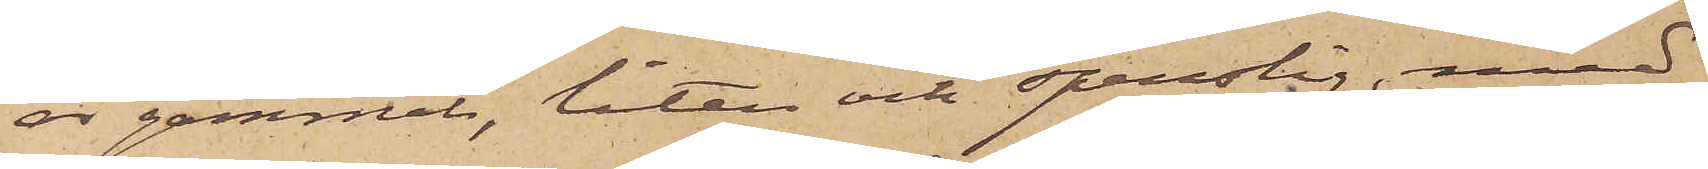år gammal, liten och spenslig, med
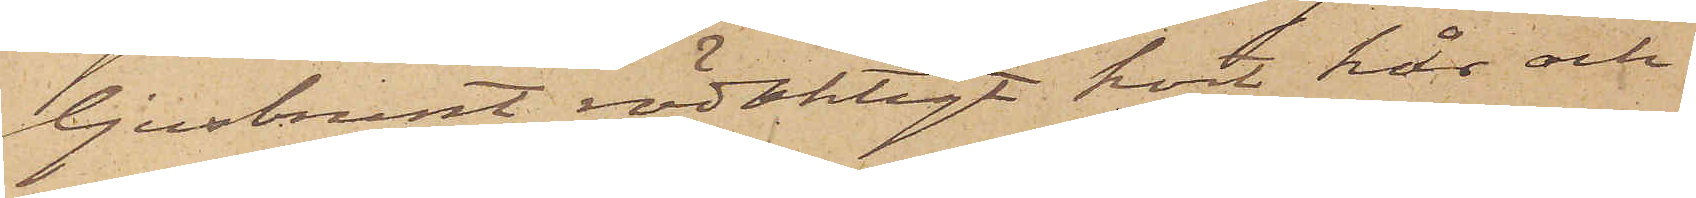ljusbrunt, rödaktigt kort hår och
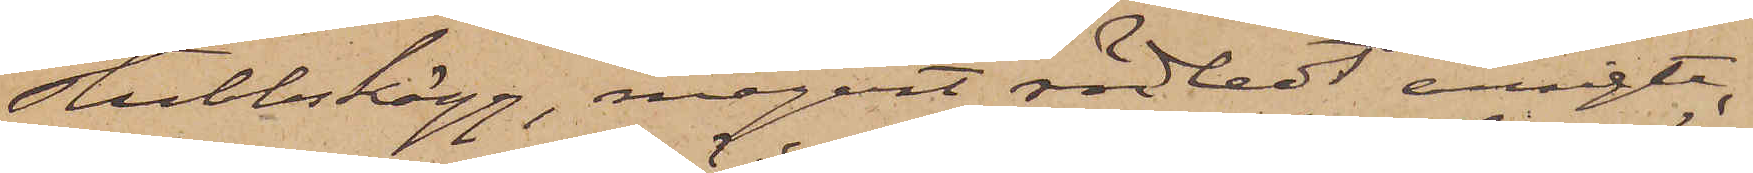stubbskägg, magert rödledt ansigte,
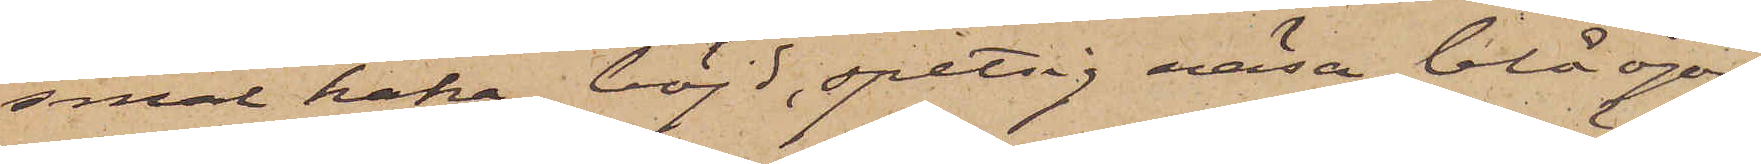smal haka, böjd, spetsig näsa, blå ögon,
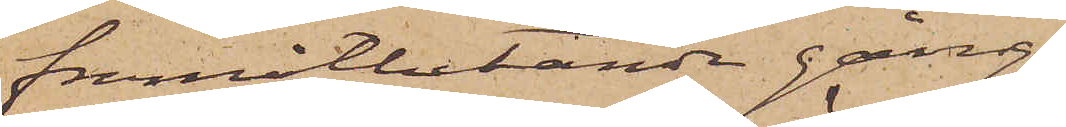framåtlutande gång,
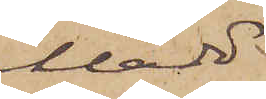klädd
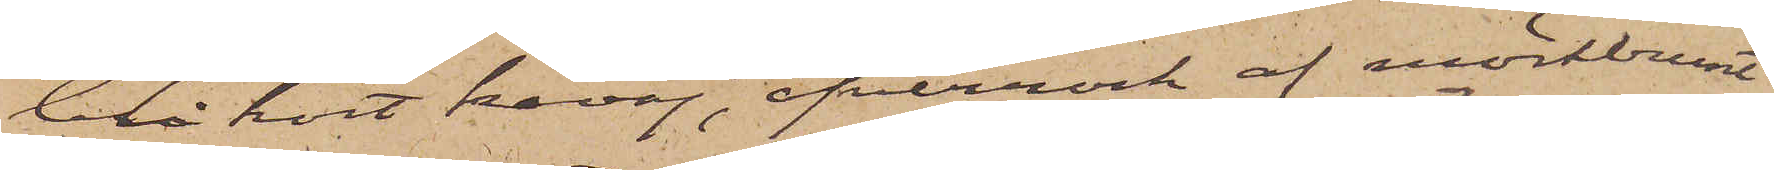blå kort kavaj, öfverrock af mörkbrunt
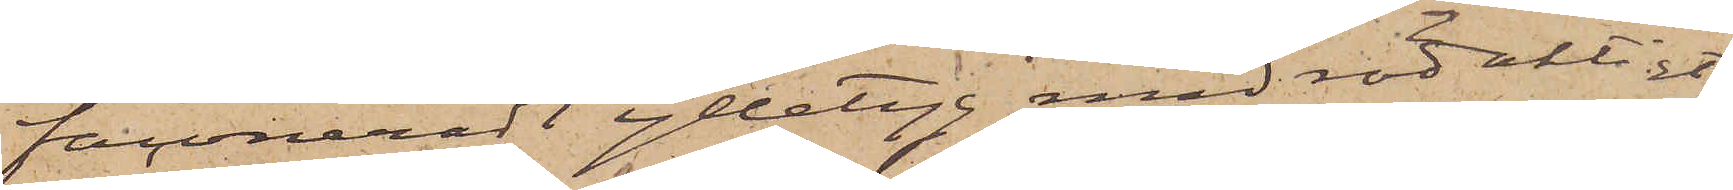faconeradt ylletyg med rödaktigt
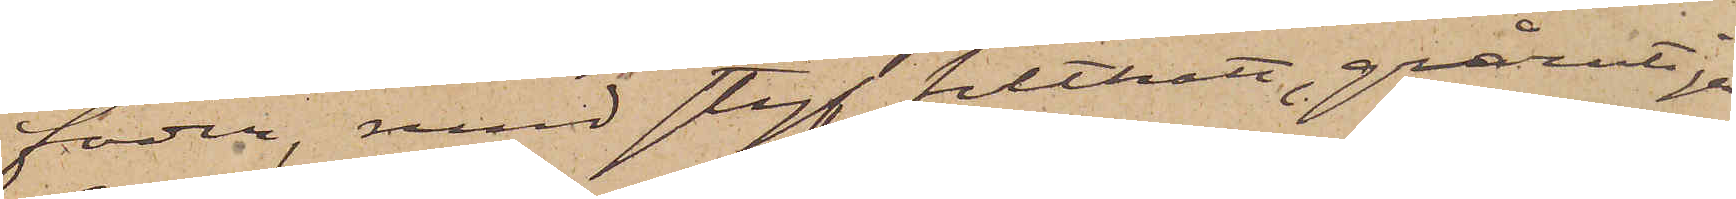foder, med styf filthatt, grårutiga
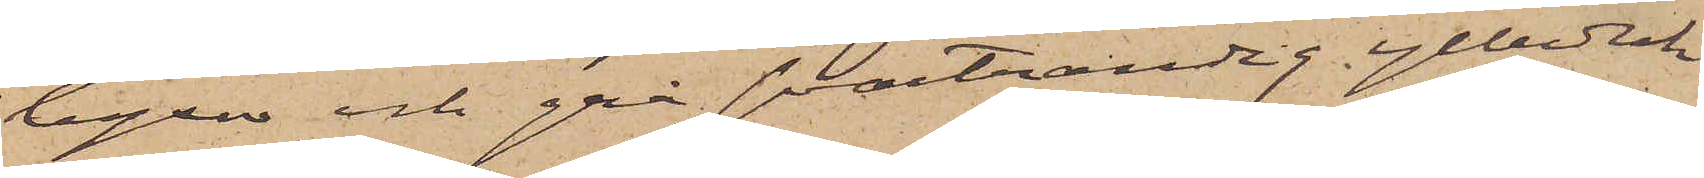byxor och grå svartrandig ylleduk
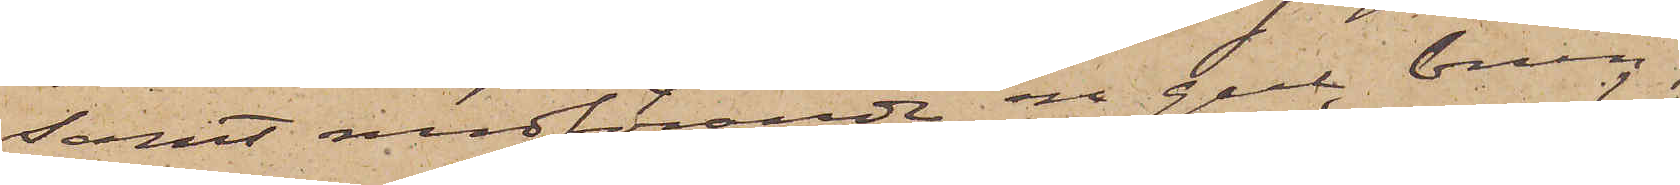samt medförande en gul, brun,
